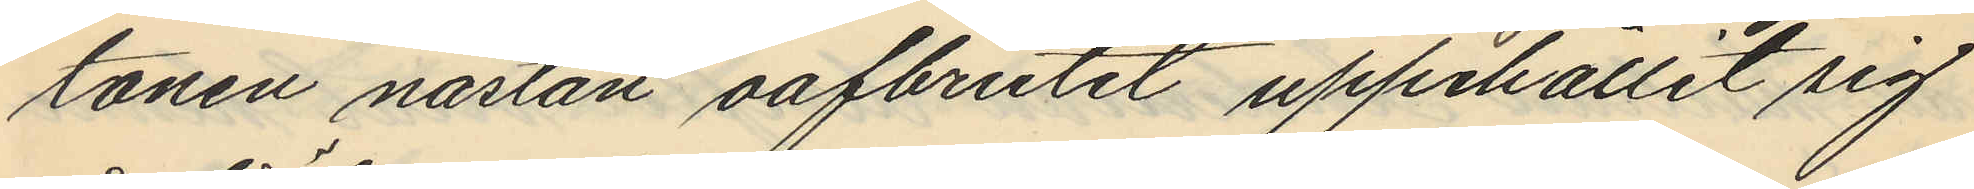tonen nästan oafbrutet uppehållit sig
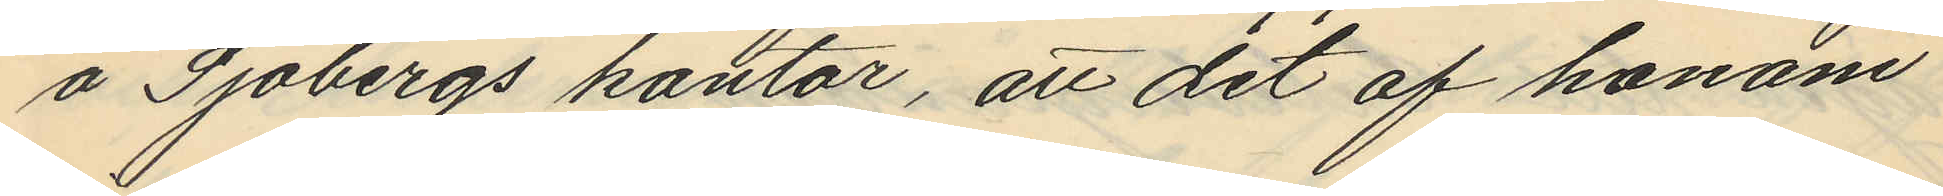å Sjöbergs kontor, att det af honom
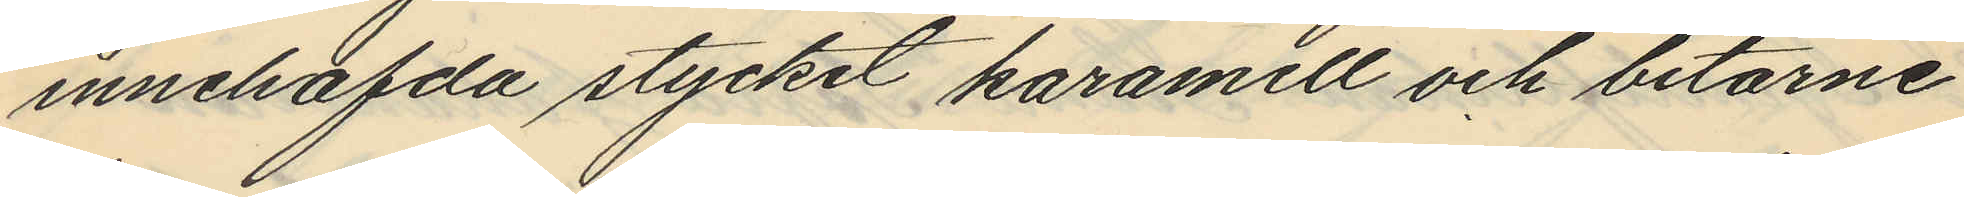innehafvda stycket karamell och bitarne
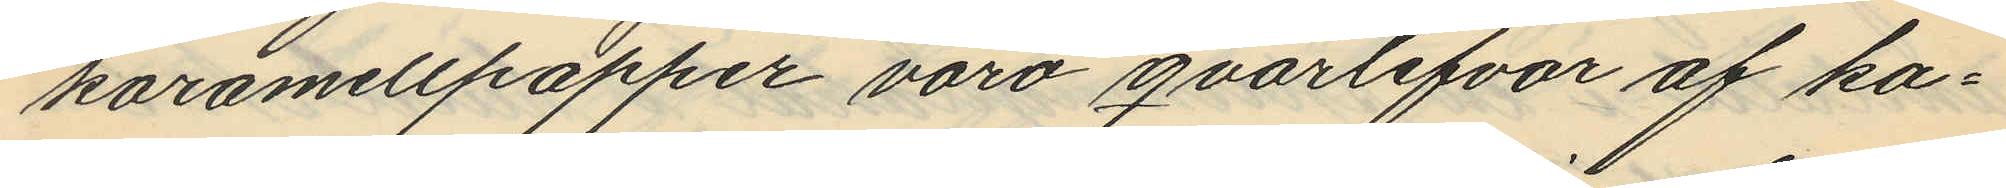karamellpapper varo qvarlefvor af ka¬
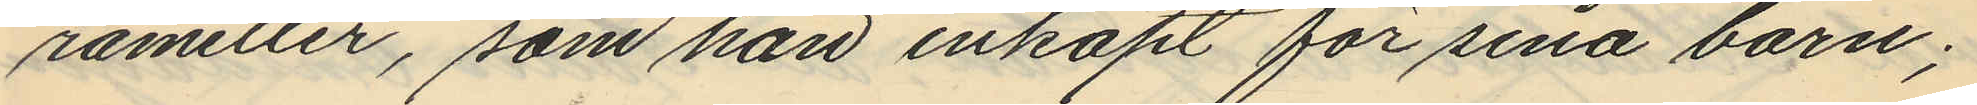rameller, som han inköpt för sina barn;
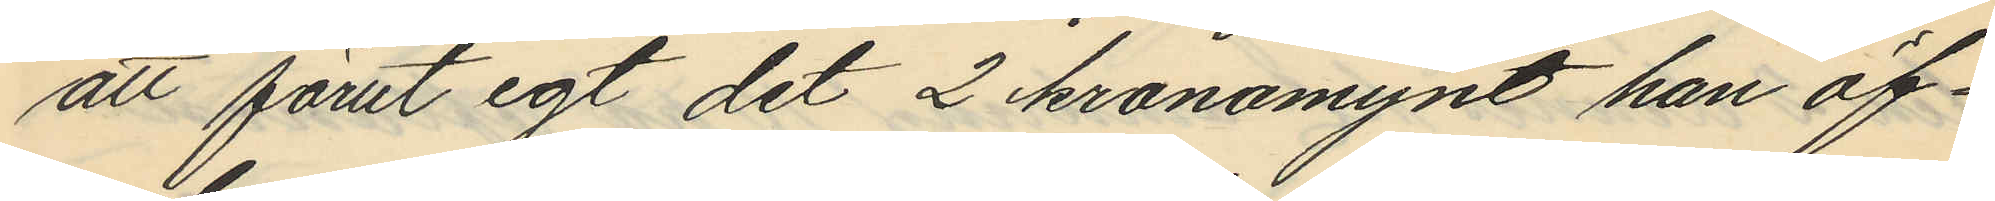att förut egt det 2 kronomynt han öf¬
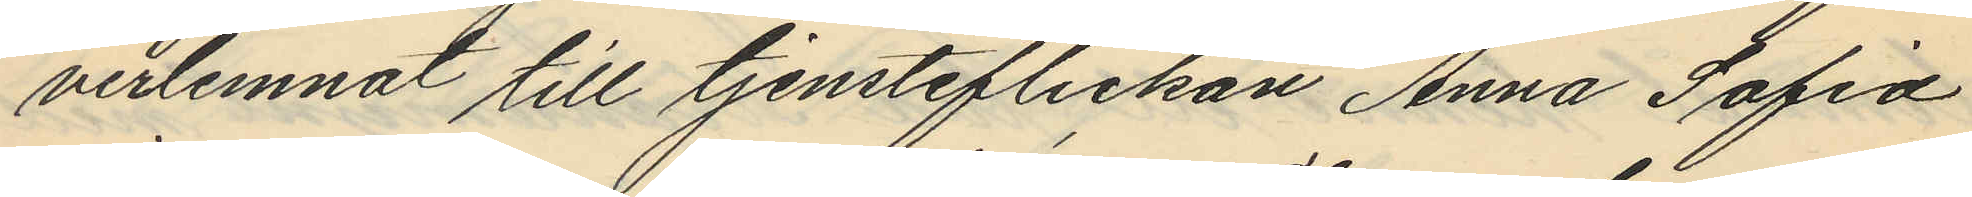verlemnat till tjensteflickan Anna Sofia
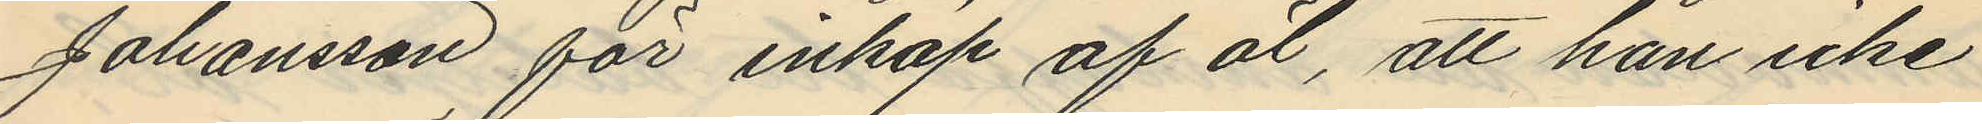Johansson för inköp af öl, att han icke
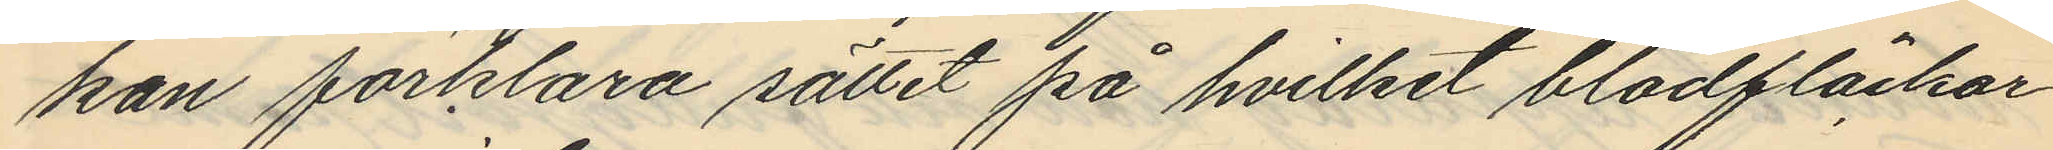kan förklara sättet på hvilket blodfläckar
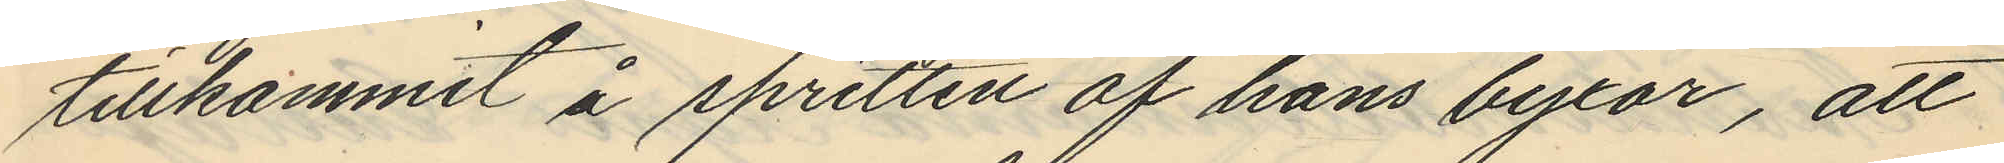tillkommit å spritten af hans byxor, att
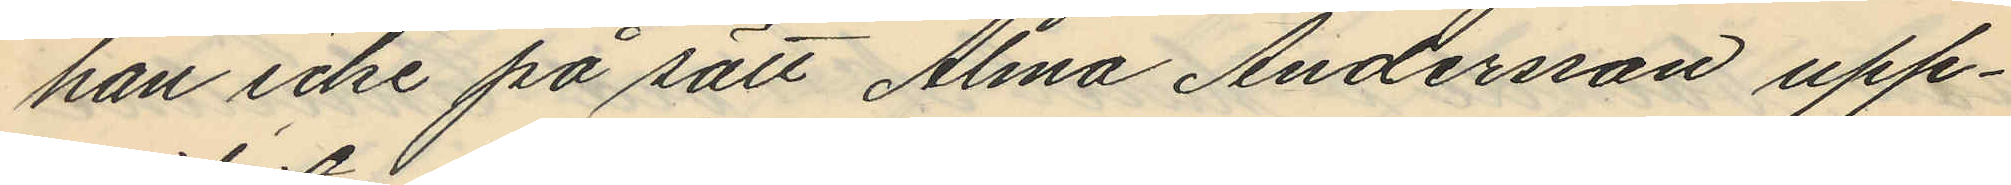han icke på sätt Alma Andersson upp¬
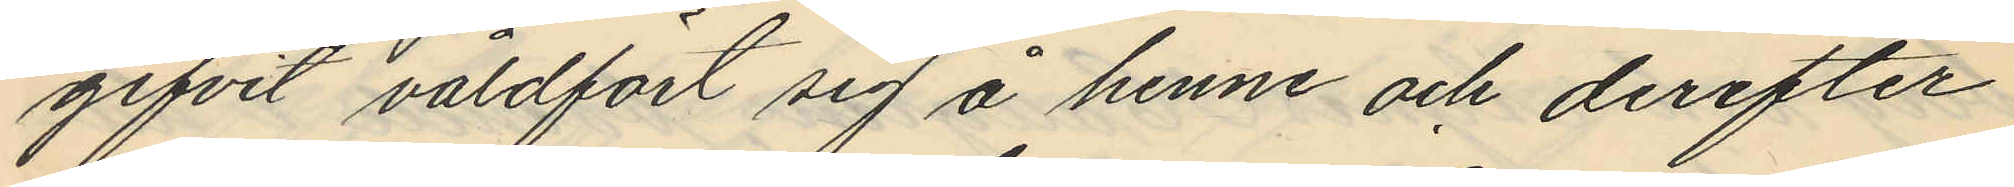gifvit våldfört sig å henne och derefter
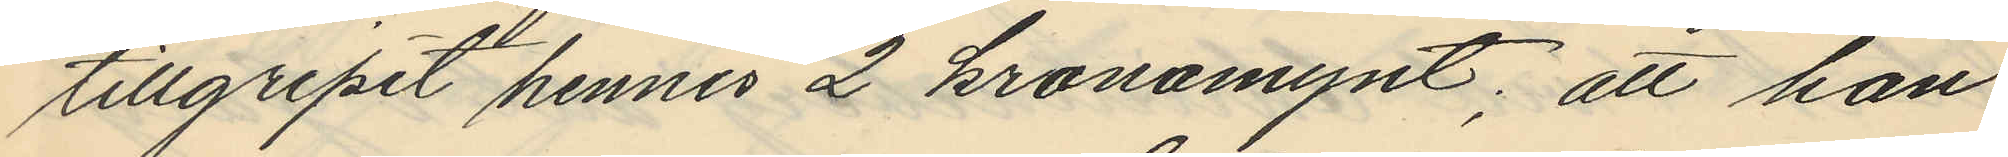tillgripit hennes 2 kronomynt; att han
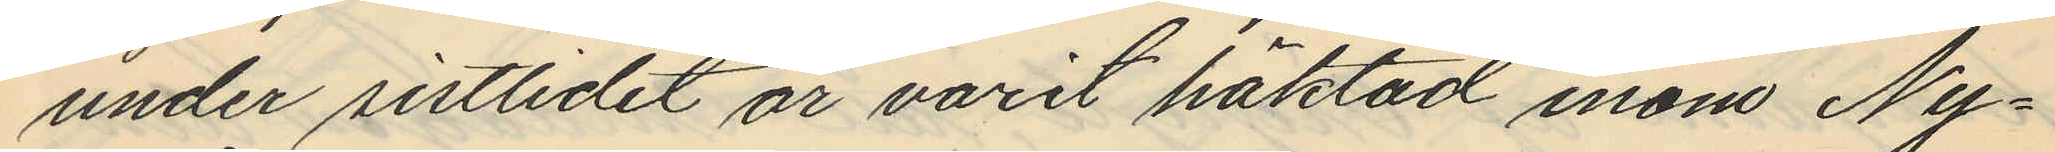under sistlidet år varit häktad inom Ny¬
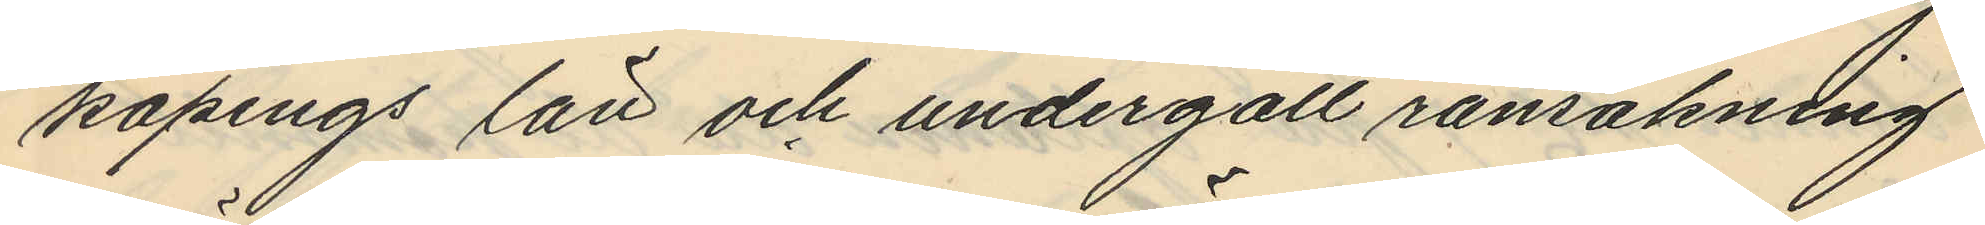köpings län och undergått ransakning
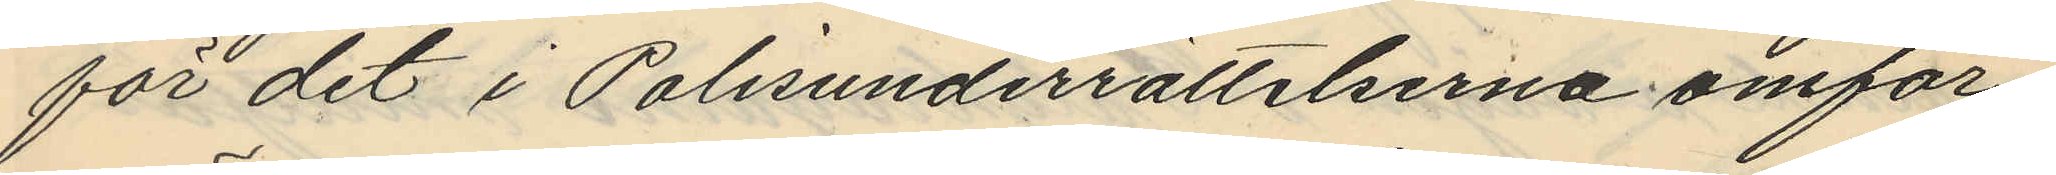för det i Polisunderrättelserna omför¬
